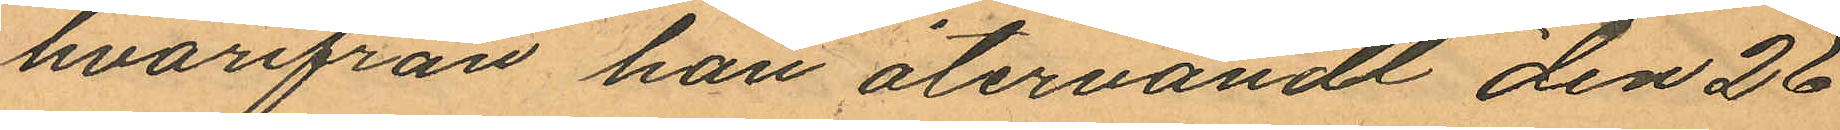hvarifrån han återvändt den 26
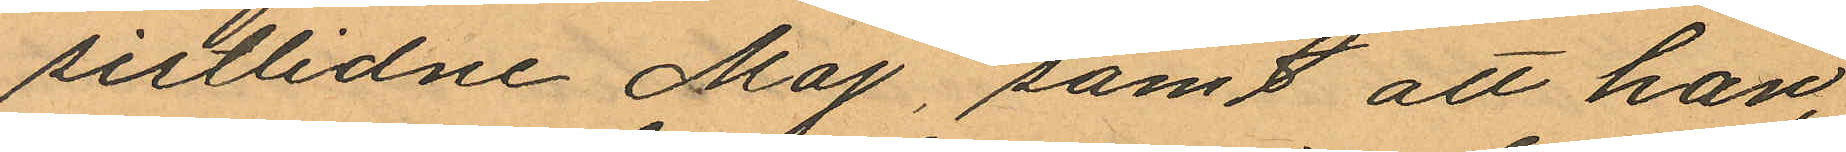sistlidne Maj, samt att han,
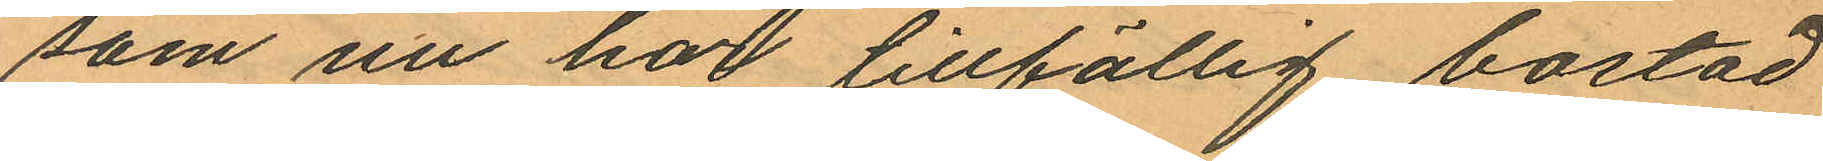som nu har tillfällig bostad
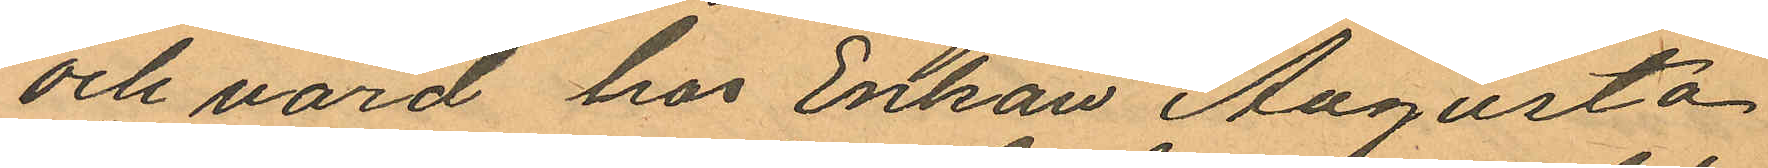och vård hos Enkan Augusta
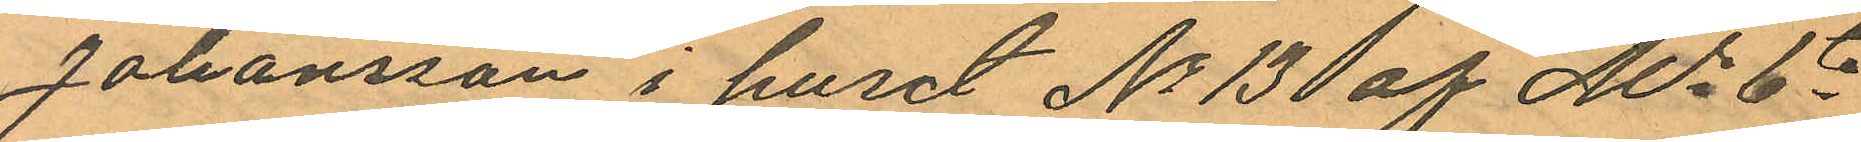Johansson i huset No 13 af No 6te
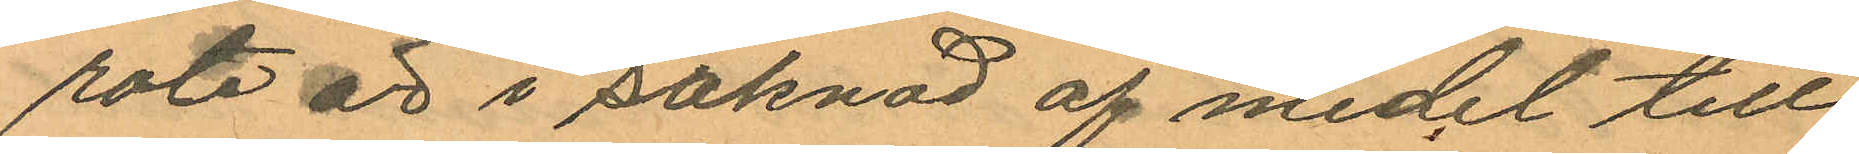rote är i saknad af medel till
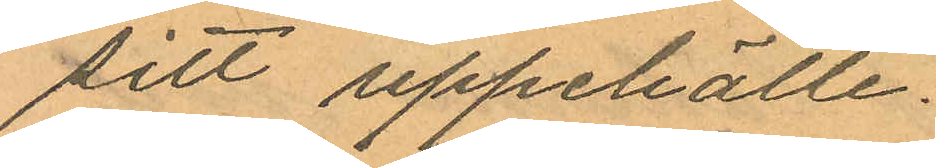sitt uppehälle.
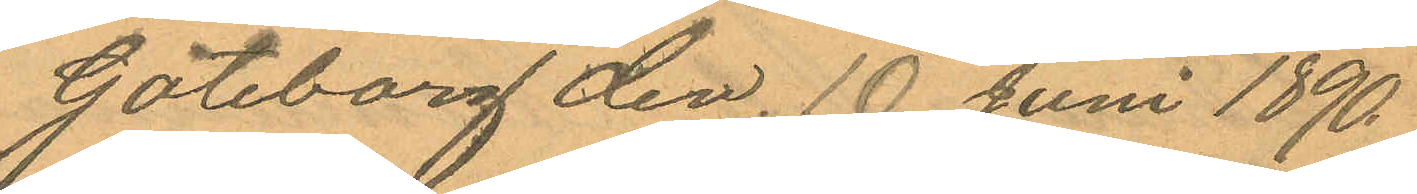Göteborg den. 10 Juni 1890.
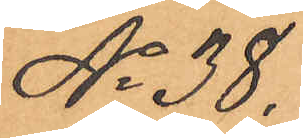No 38.
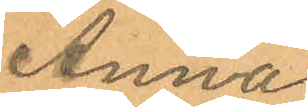Anna
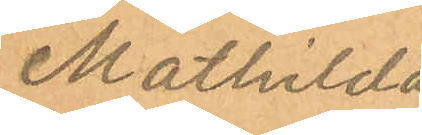Mathilda
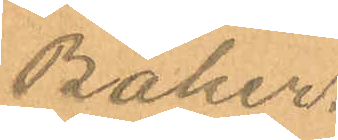Baker.
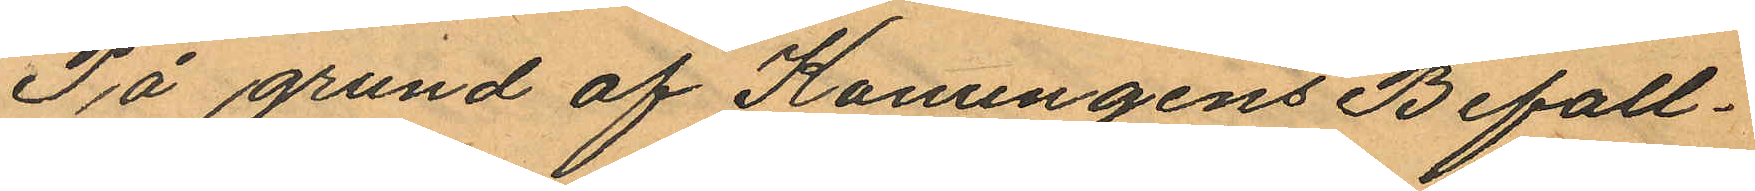På grund af Konungens Befall¬
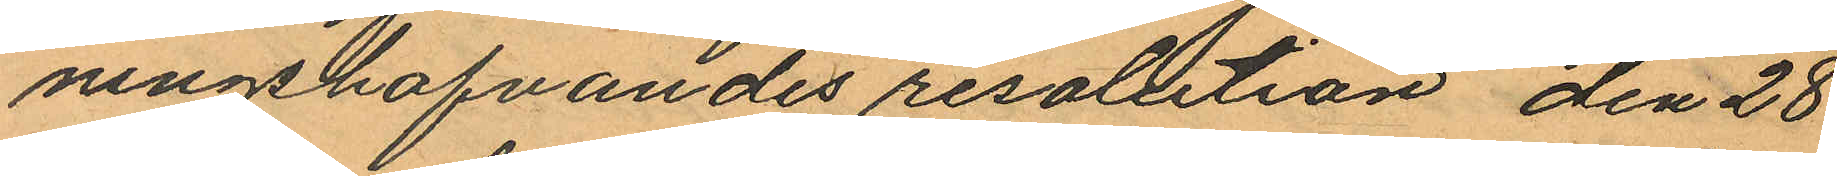ningshafvandes resolution den 28
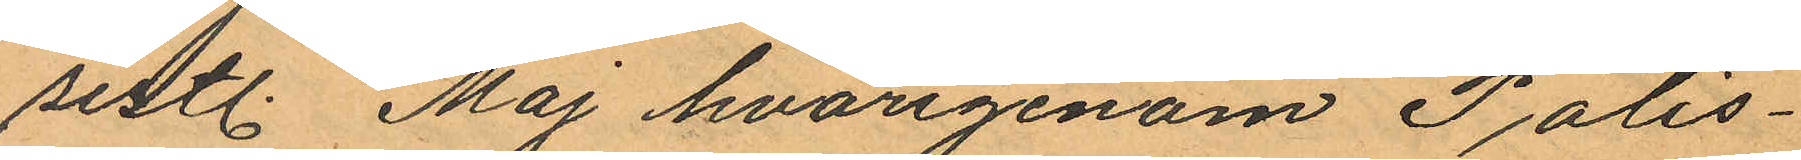sistl. Maj hvarigenom Polis¬
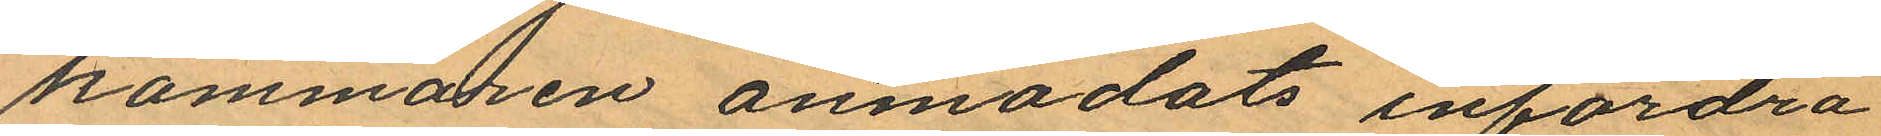kammaren anmodats infordra
